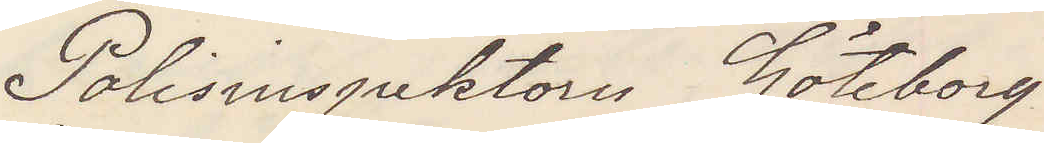Polisinspektorn Göteborg
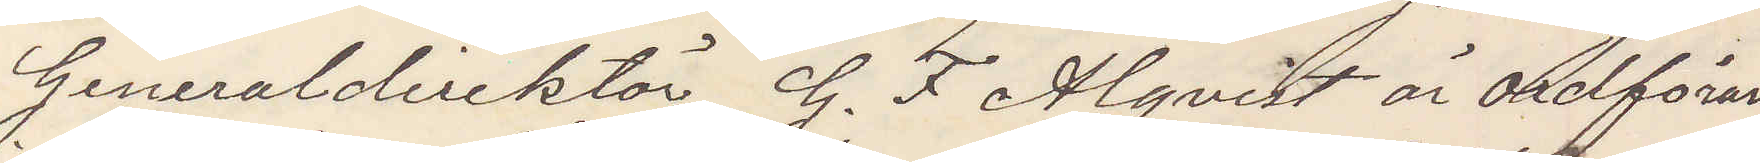Generaldirektör G. F. Alqvist är ordföran¬
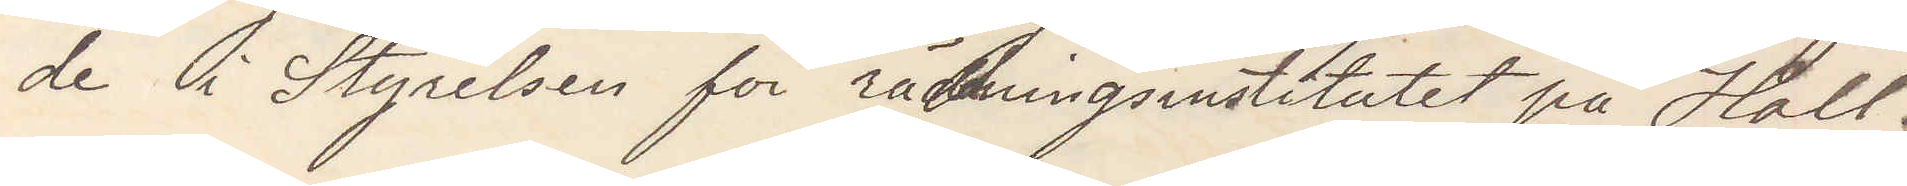de i Styrelsen för räddningsinstitutet på Hall.
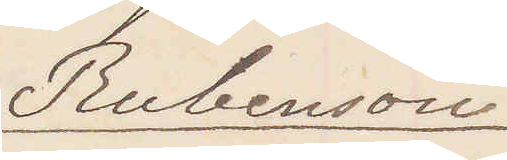Rubenson
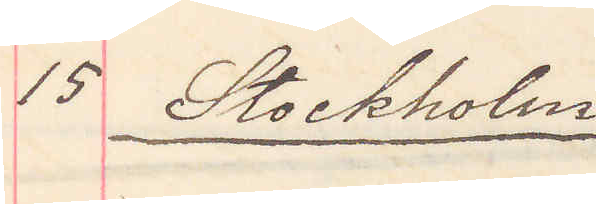15 Stockholm
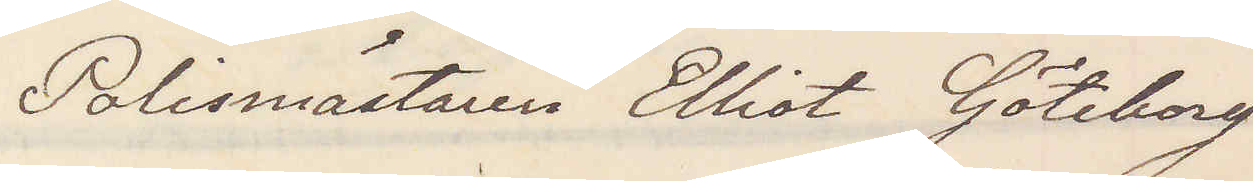Polismästaren Elliot Göteborg
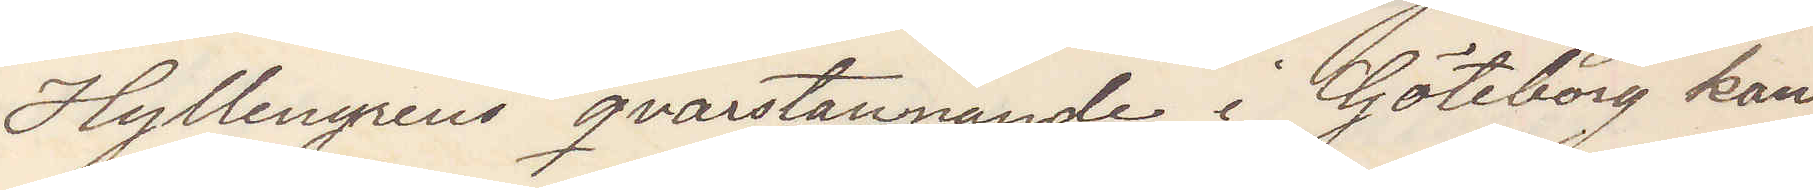Hyllengrens qvarstannande i Göteborg kan
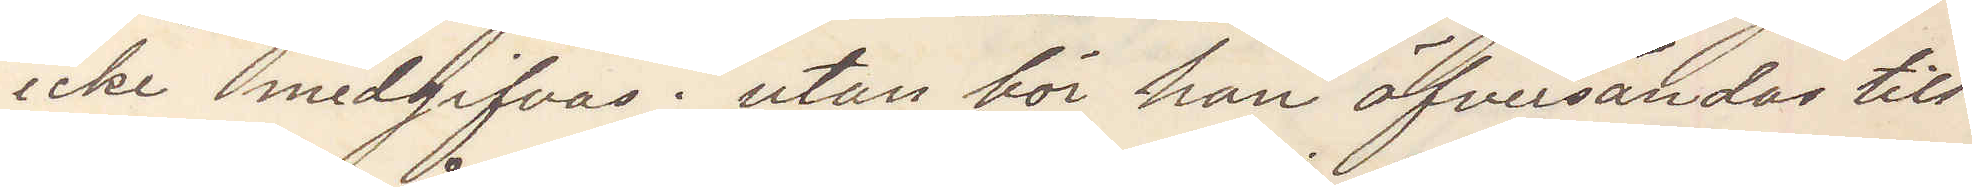icke medgifvas utan bör han öfversändas till
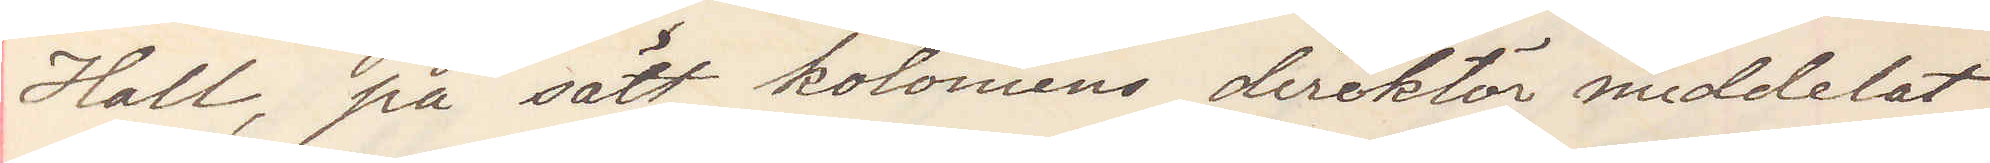Hall, på sätt koloniens direktör meddelat
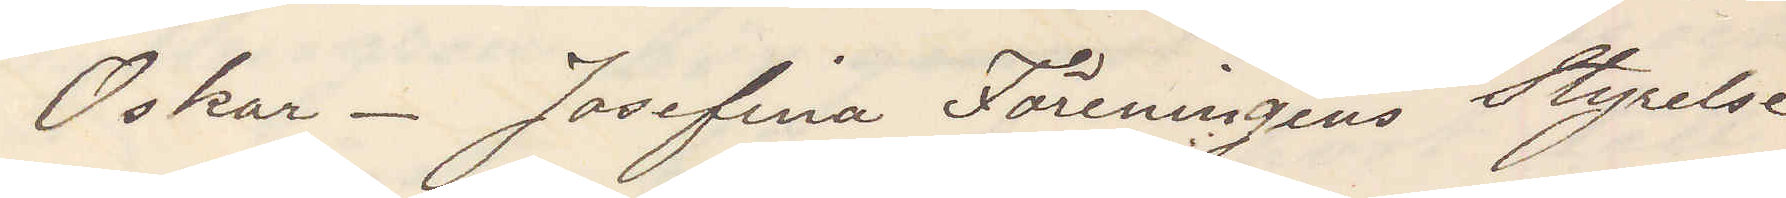Oskar_ Josefina Föreningens Styrelse
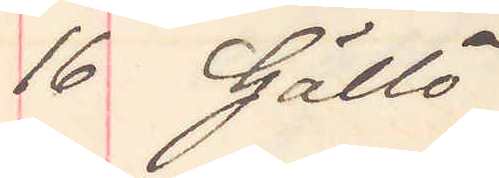16 Gällö
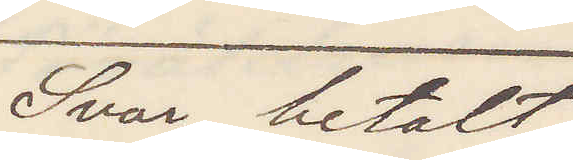Svar betalt
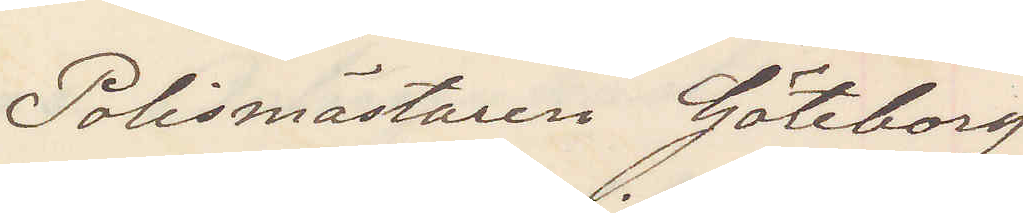Polismästaren Göteborg
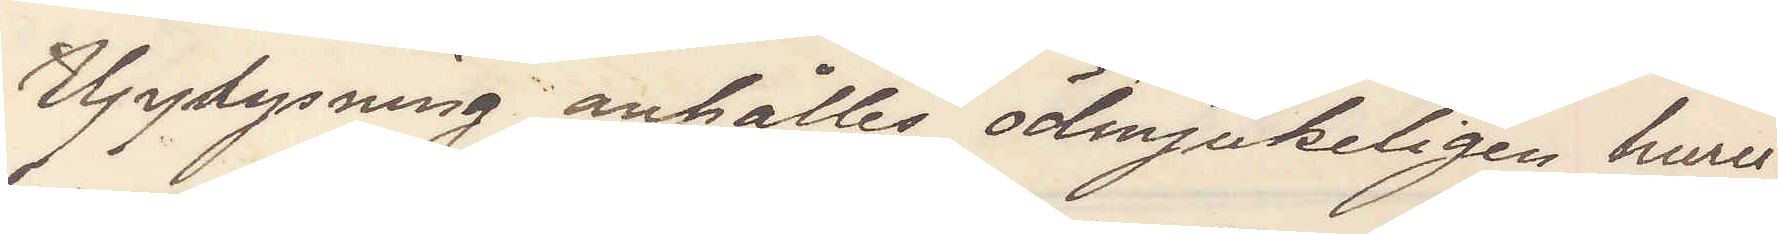Upplysning anhålles ödmjukeligen huru¬
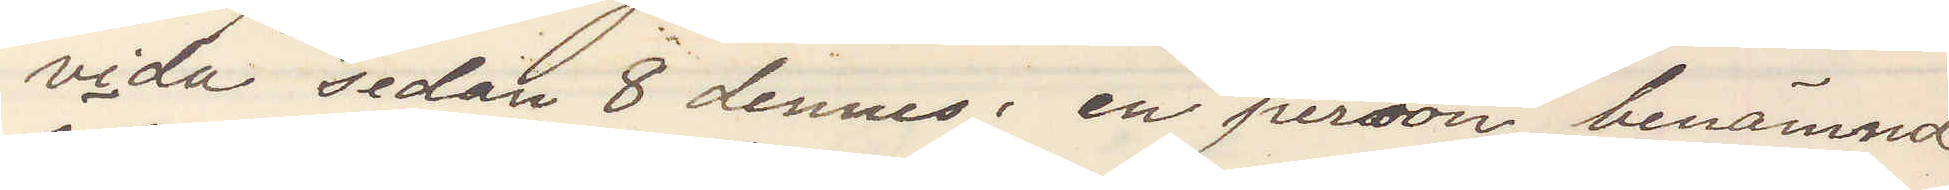vida sedan den 8 dennes, en person benämnd
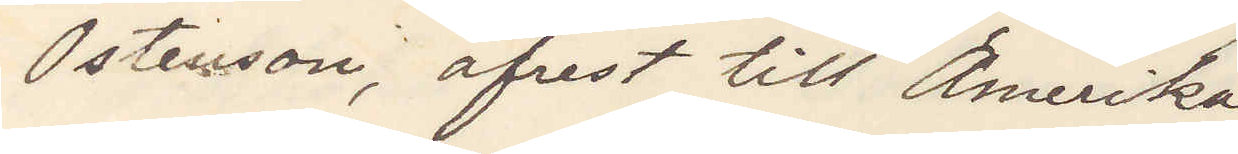Östenson, afrest till Amerika
